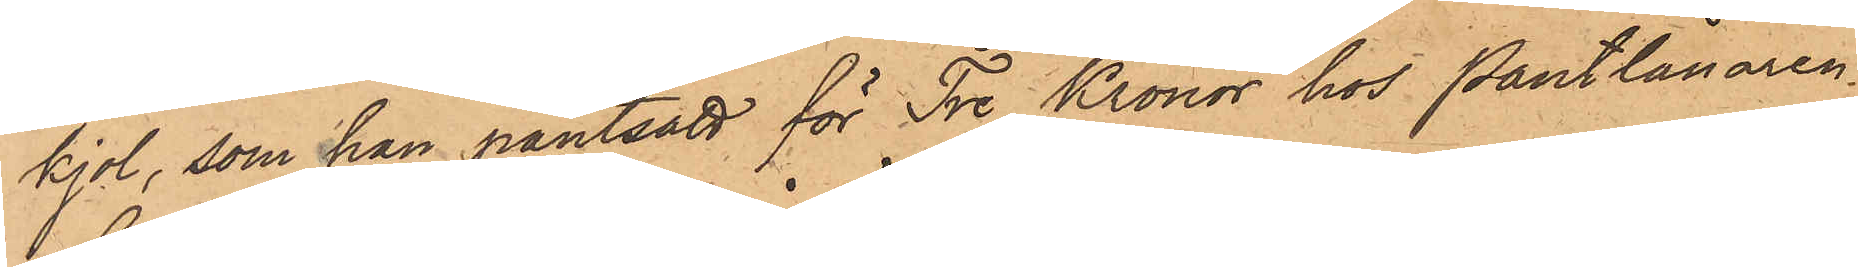kjol, som han pantsatt för Tre Kronor hos Pantlånaren
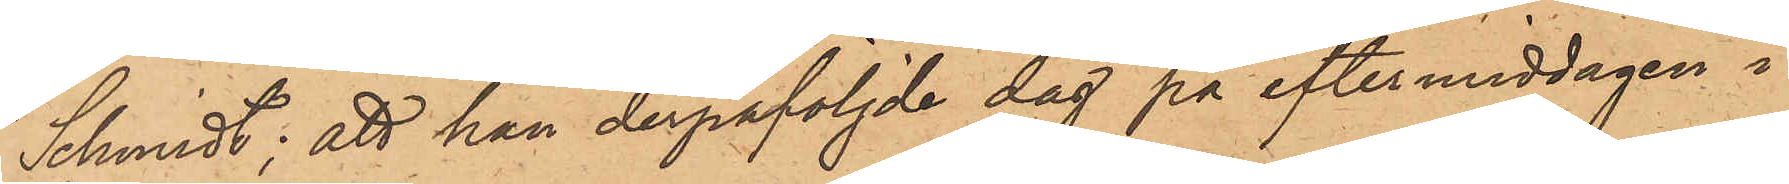Schmidt; att han derpåföljde dag på eftermiddagen i
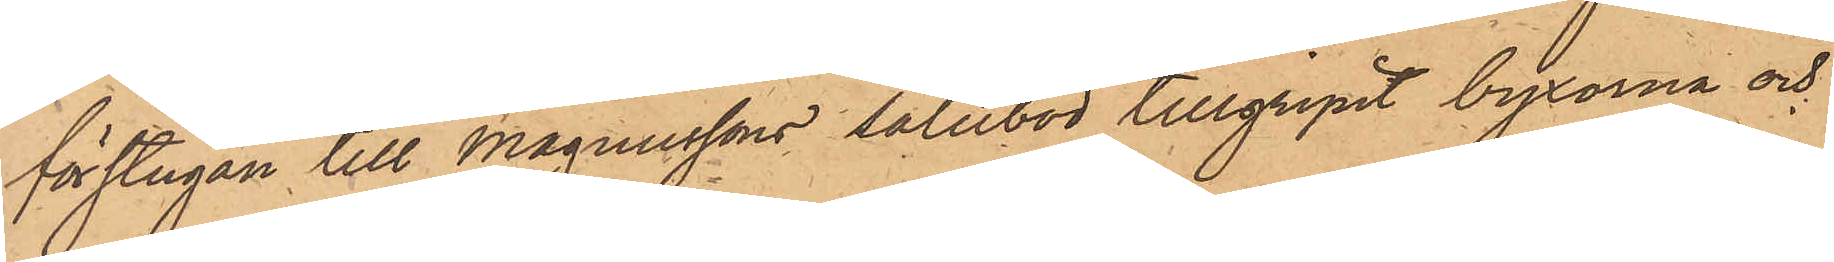förstugan till Magnussons salubod tillgripit byxorna och
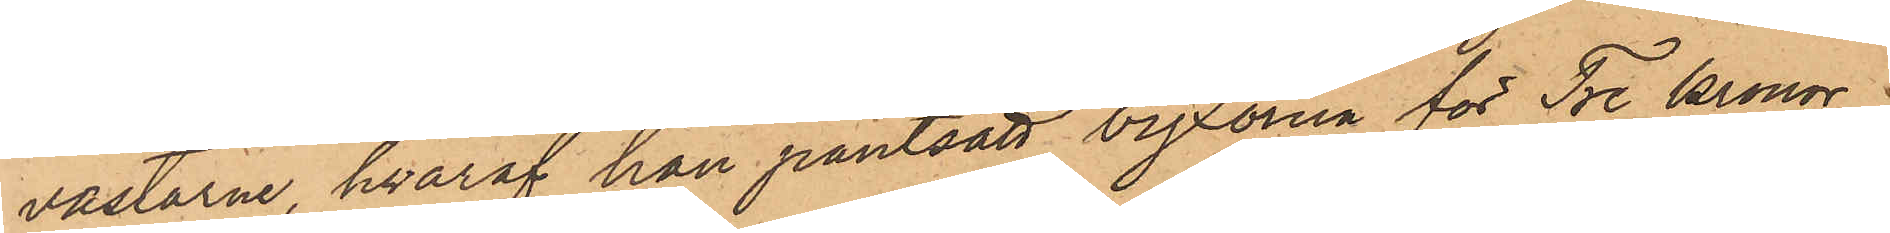västarne hvaraf han pantsatt byxorna för Tre Kronor.
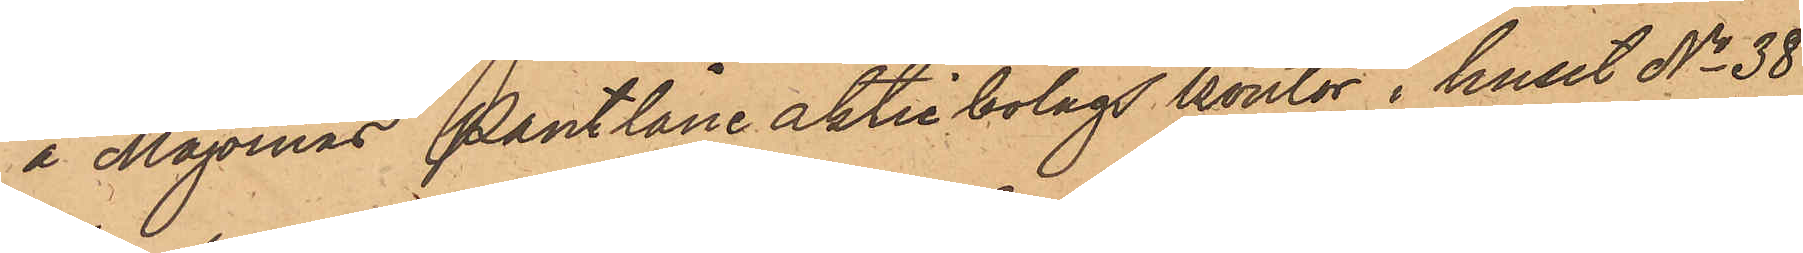å Majornas Pantlåne aktiebolags kontor i huset No 38
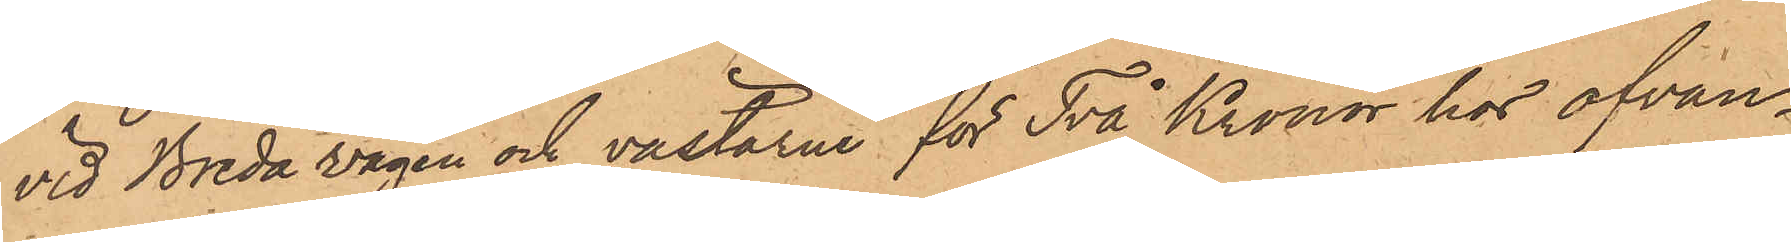vid Breda vägen och västarne för Två Kronor hos ofvan¬
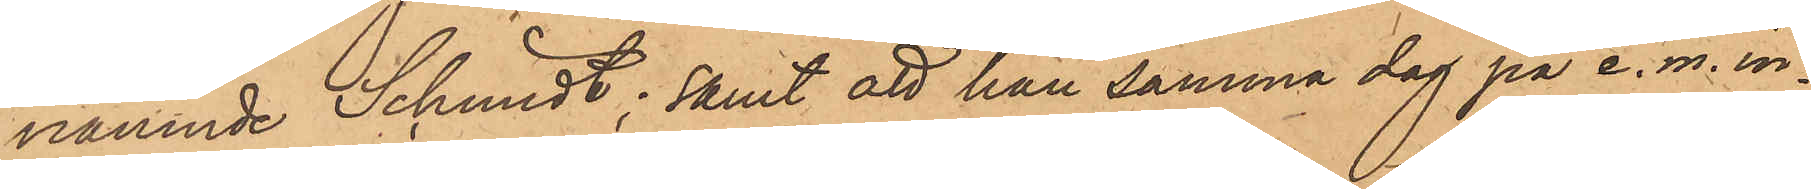nämnde Schmidt; samt att han samma dag på e. m. in¬
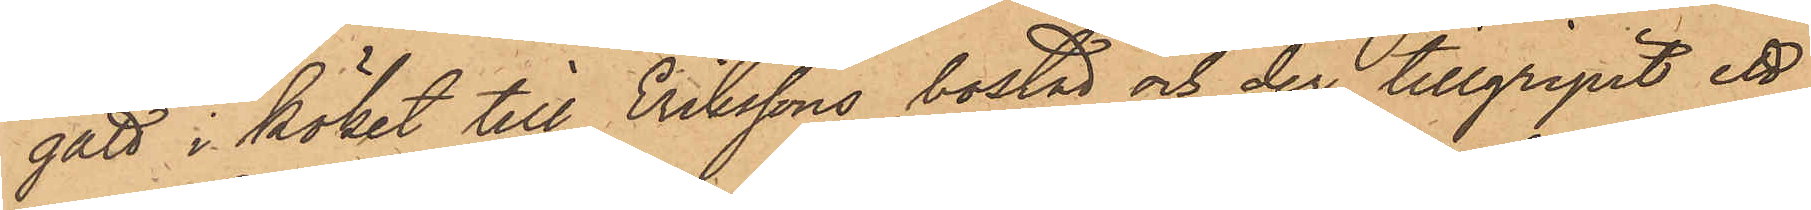gått i köket till Erikssons bostad och der tillgripit ett
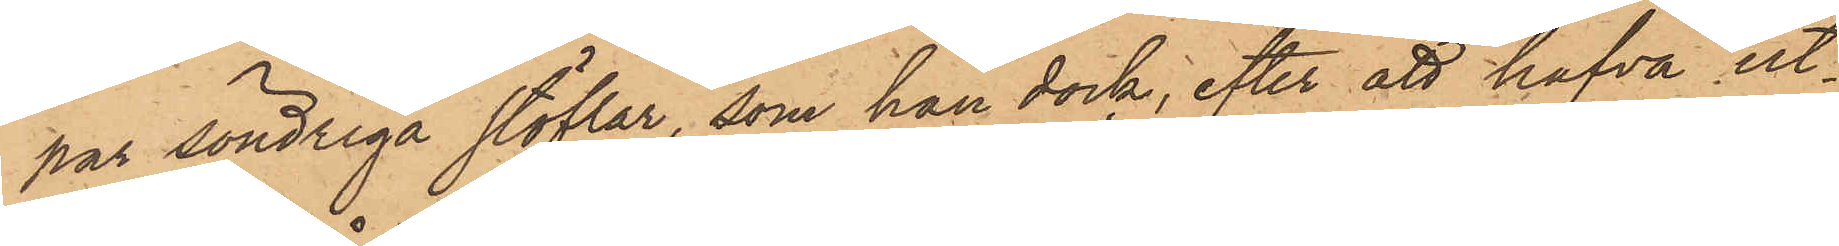par söndriga stöflar, som han dock, efter att hafva ut¬
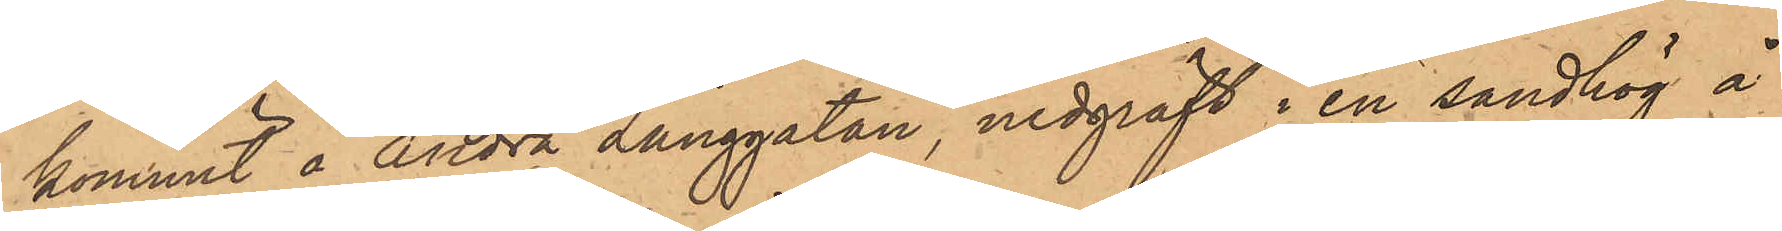kommit å Andra Långgatan, nedgräft i en sandhög å
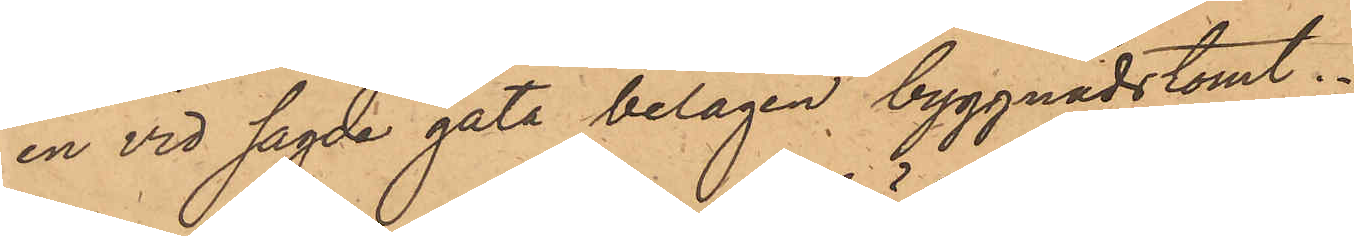en vid sagde gata belägen byggnadstomt.
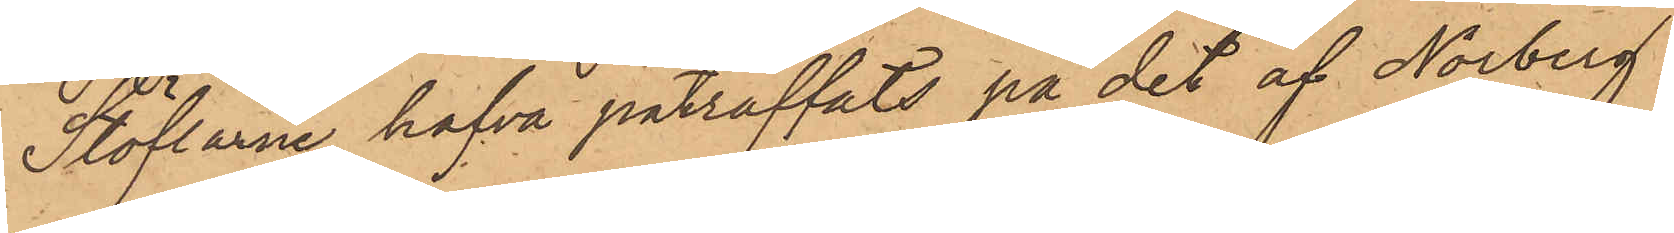Stöflarne hafva påträffats på det af Norberg,
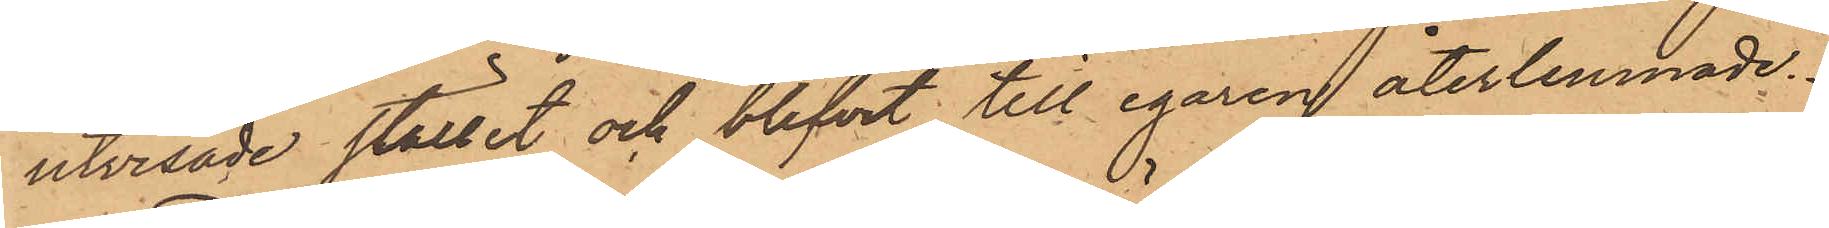utvisade stället och blifvit till egaren återlemnade.
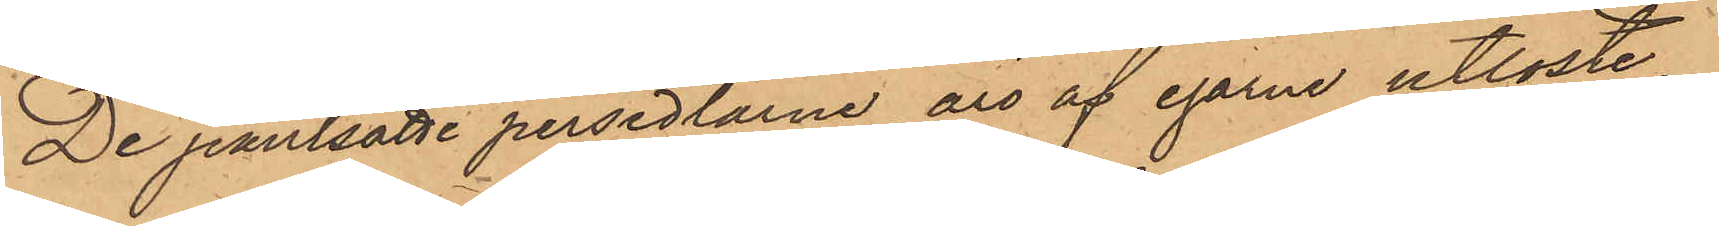De pantsatte persedlarne äro af egarne utlöste.
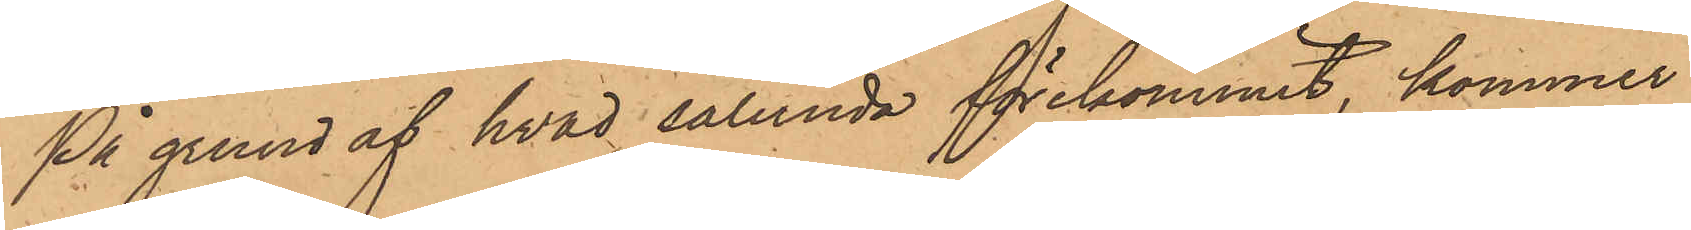På grund af hvad sålunda förekommit, kommer
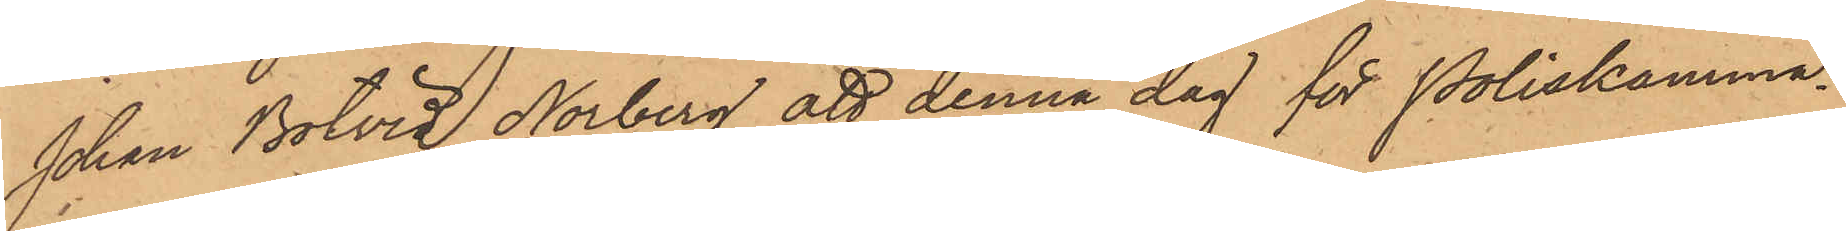Johan Botvid Norberg att denna dag för Poliskamma¬
